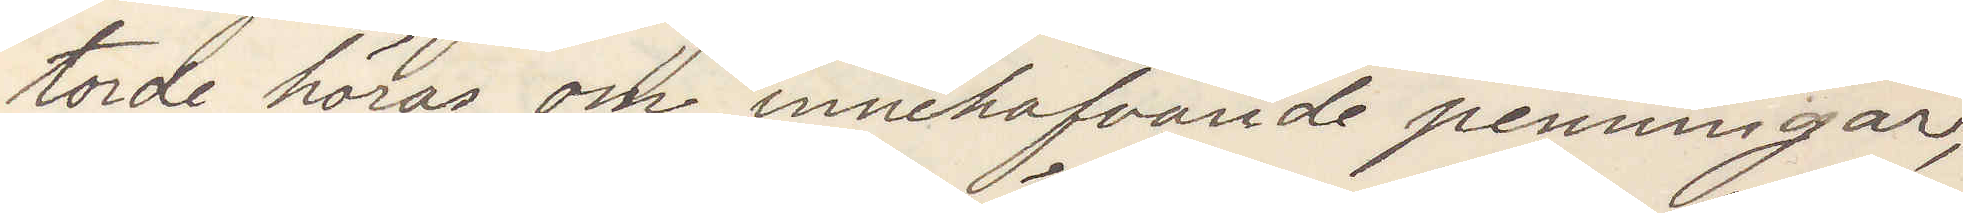torde höras om innehafvande penningar,
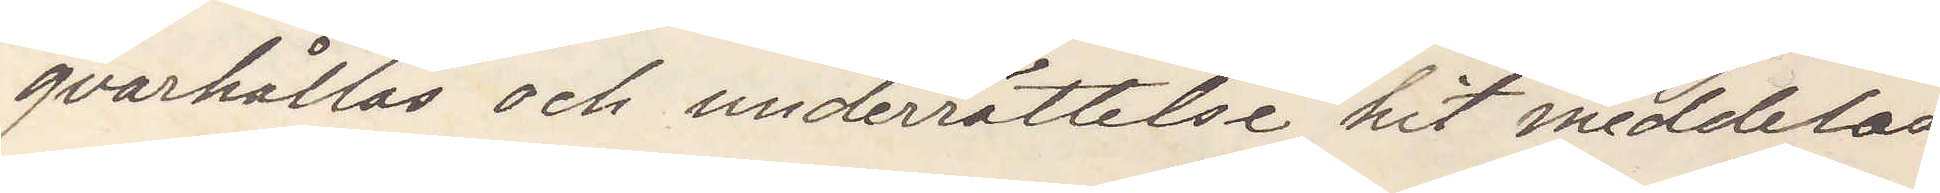qvarhållas och underrättelse hit meddelas.
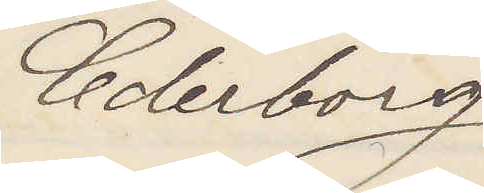Cederborg
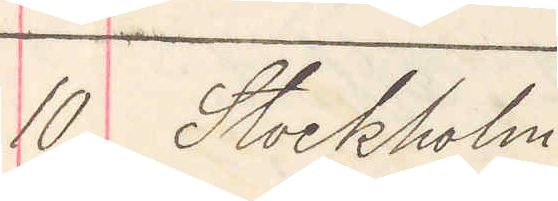10 Stockholm
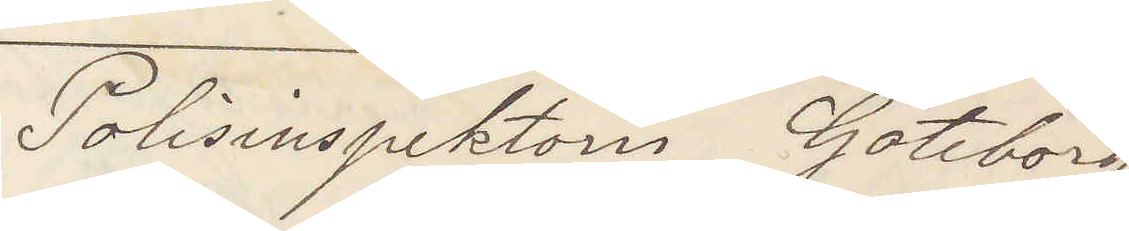Polisinspektorn Göteborg
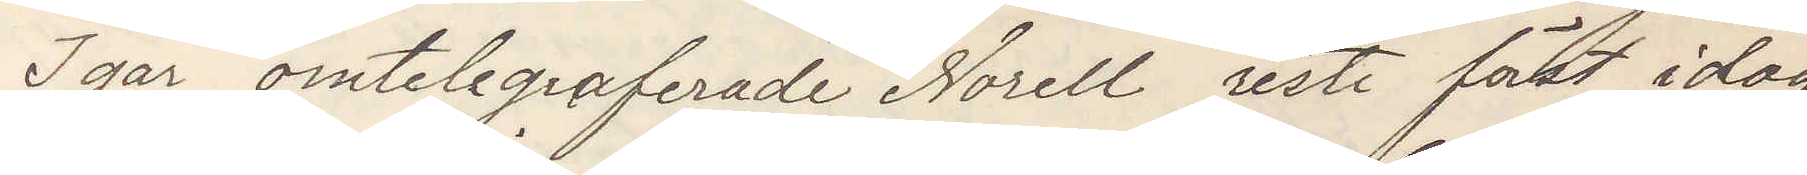Igår omtelegraferade Norell reste först idag
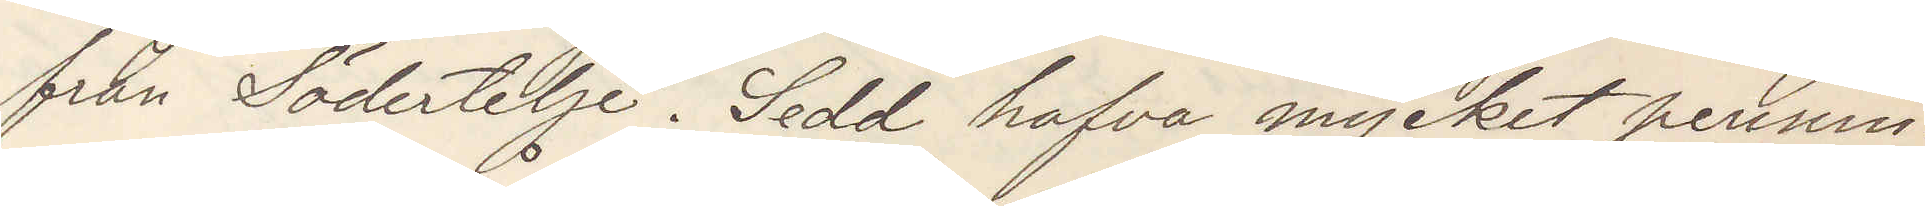från Södertelje. Sedd hafva mycket pennin¬
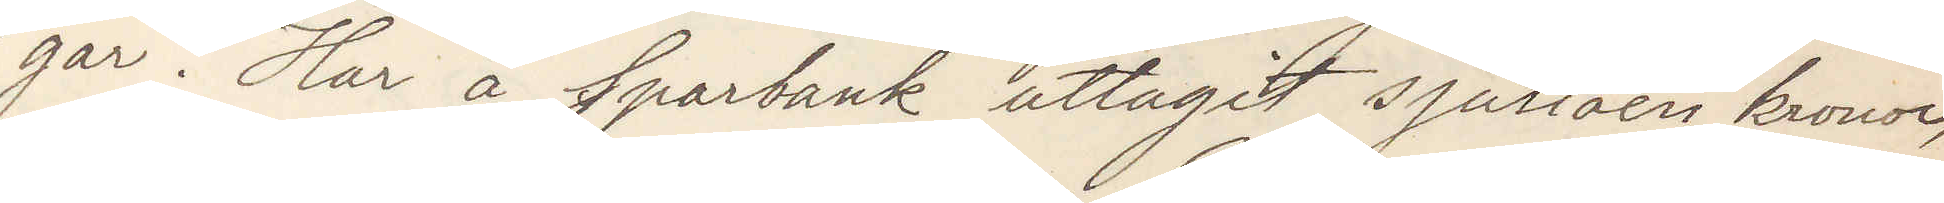gar. Har å Sparbank uttagit sjutioen kronor,
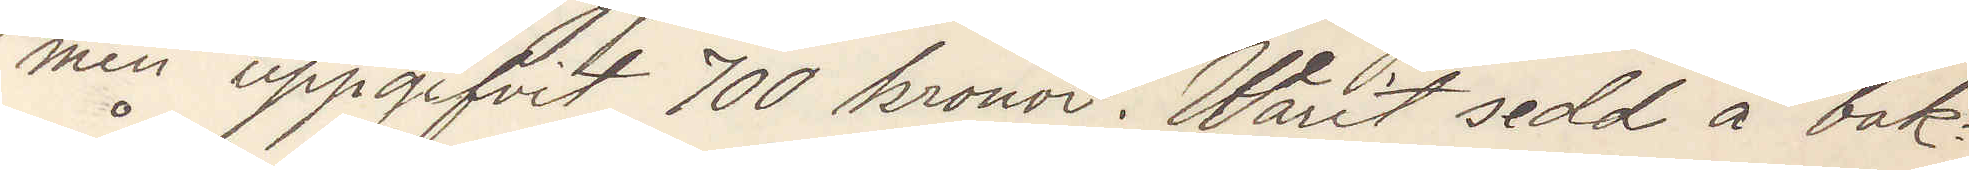men uppgifvit 700 kronor. Warit sedd å bak¬
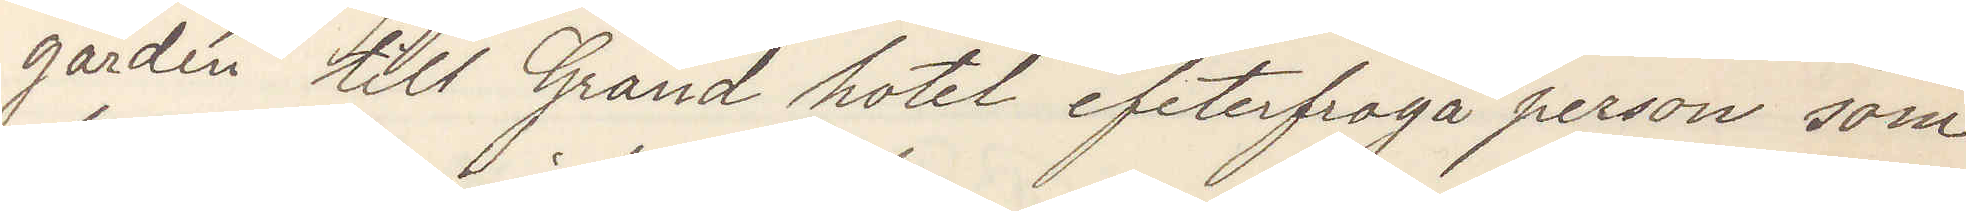gården till Grand hotel efterfråga person som
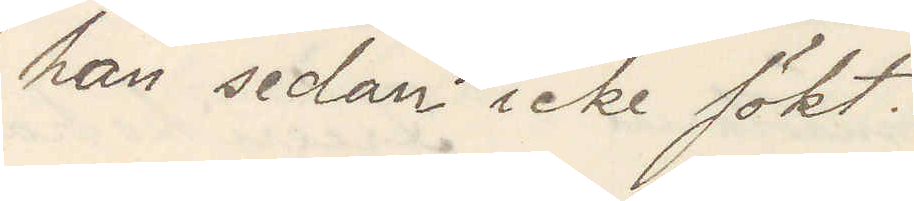han sedan icke sökt.
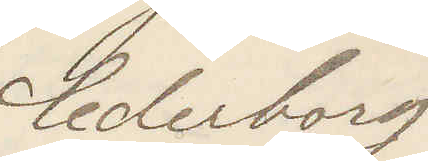Cederborg
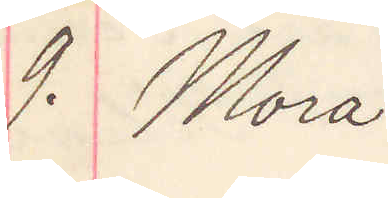9. Mora
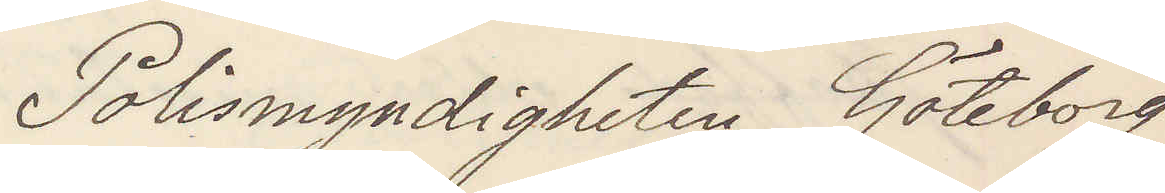Polismyndigheten Göteborg
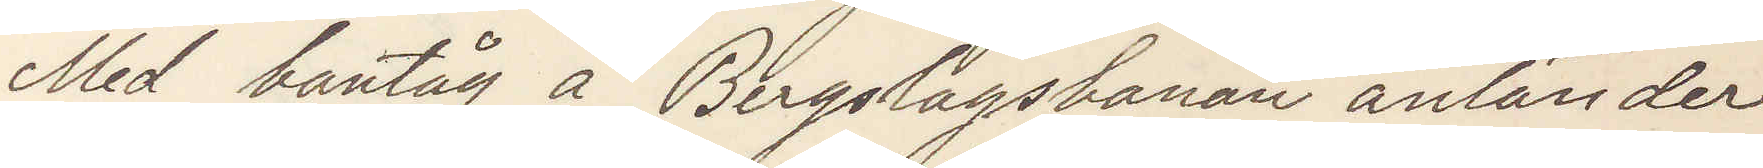Med bantåg å Bergslagsbanan anländer
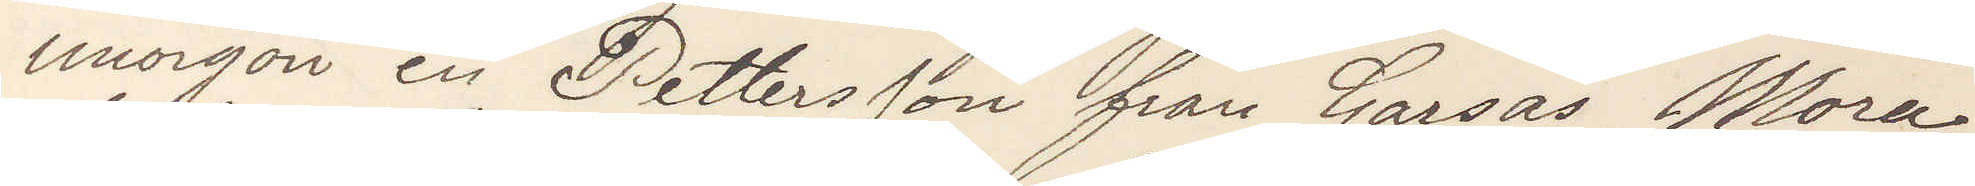imorgon en Pettersson från Garsås Mora
